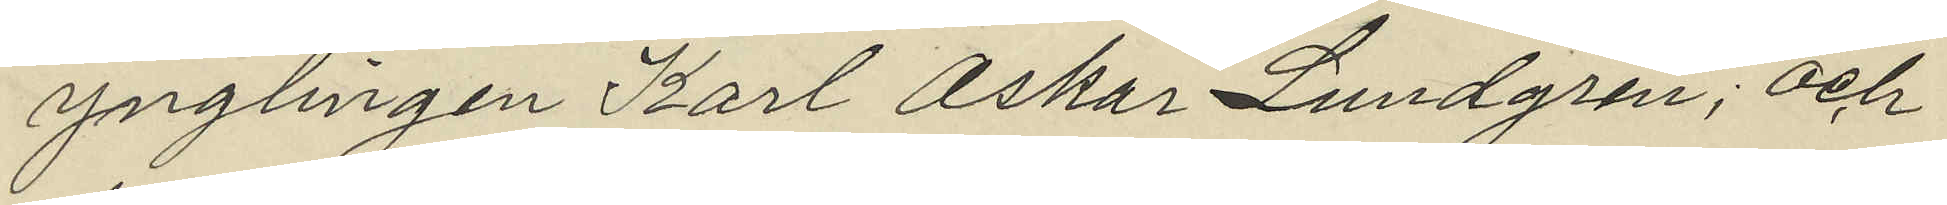ynglingen Karl Oskar Lundgren; och
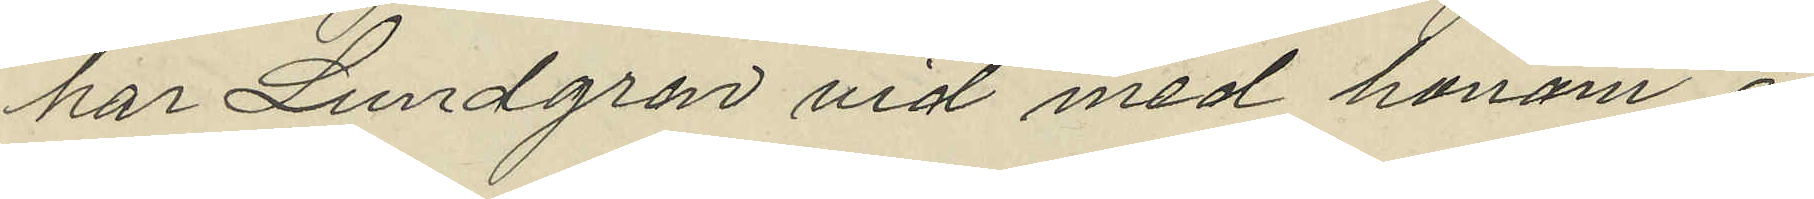har Lundgren vid med honom i
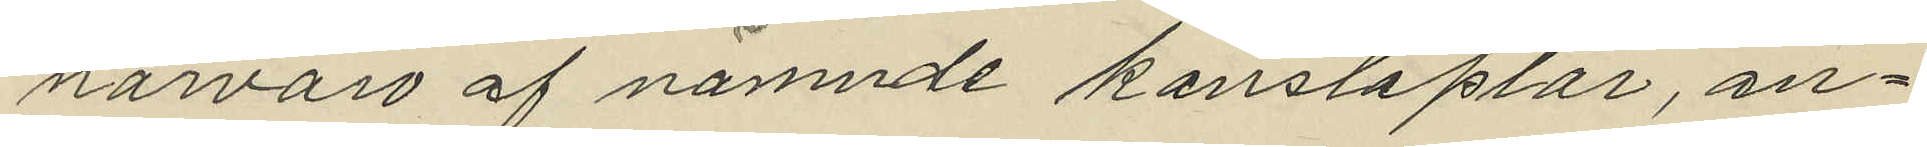närvaro af nämnde konstaplar, an¬
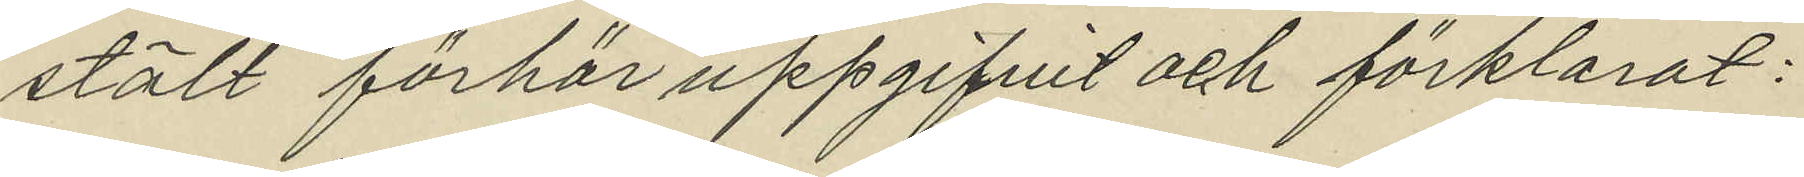stält förhör uppgifvit och förklarat:
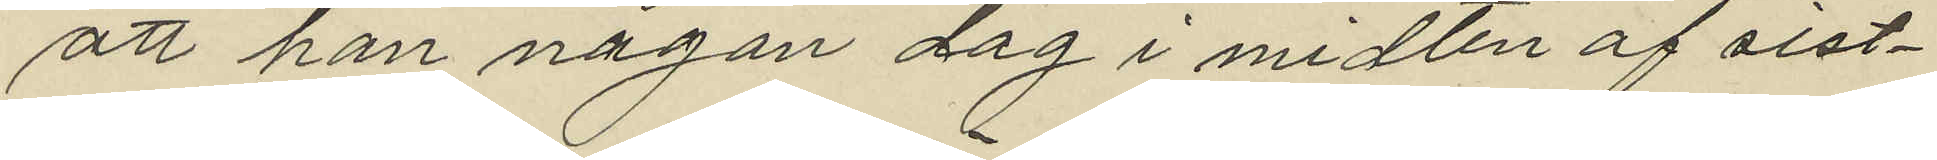att han någon dag i midten af sist¬
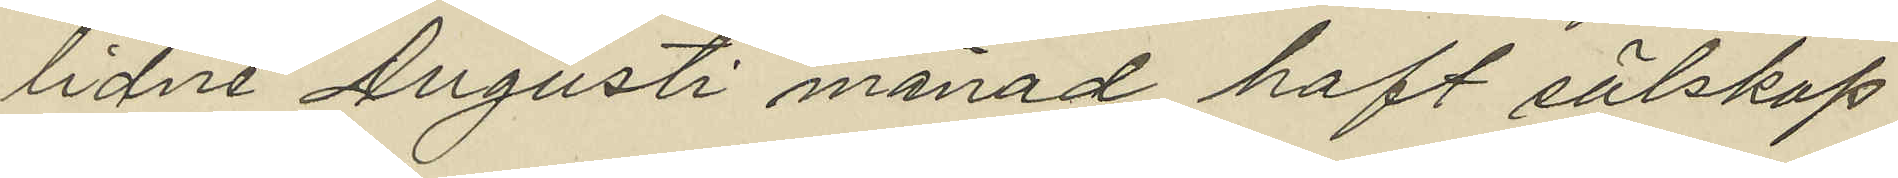lidne Augusti månad haft sälskap
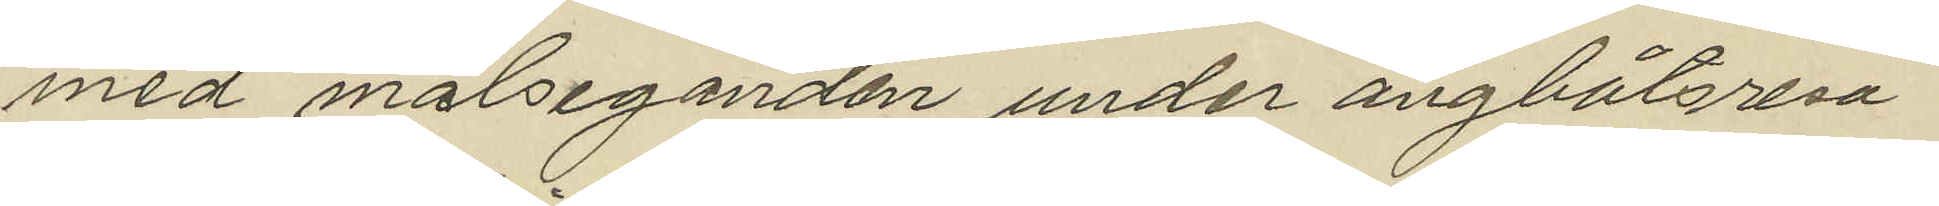med målseganden under ångbåtsresa
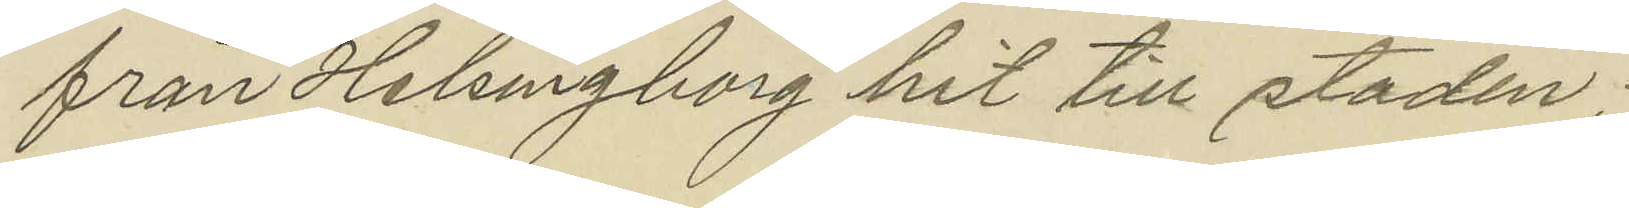från Helsingborg hit till staden;
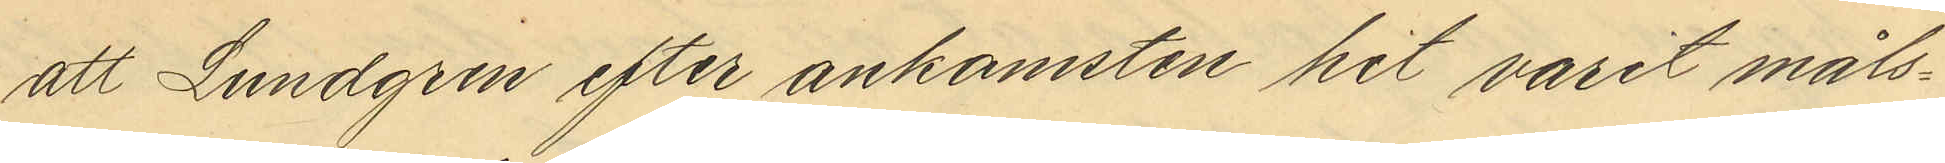att Lundgren efter ankomsten hit varit måls¬
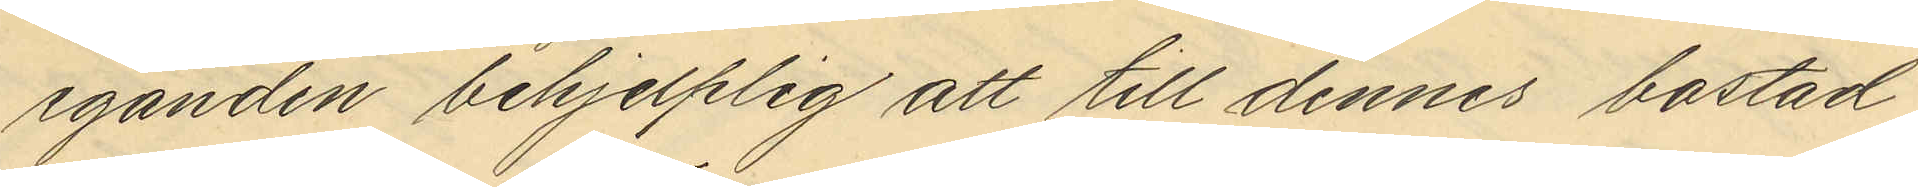eganden behjelplig att till dennes bostad
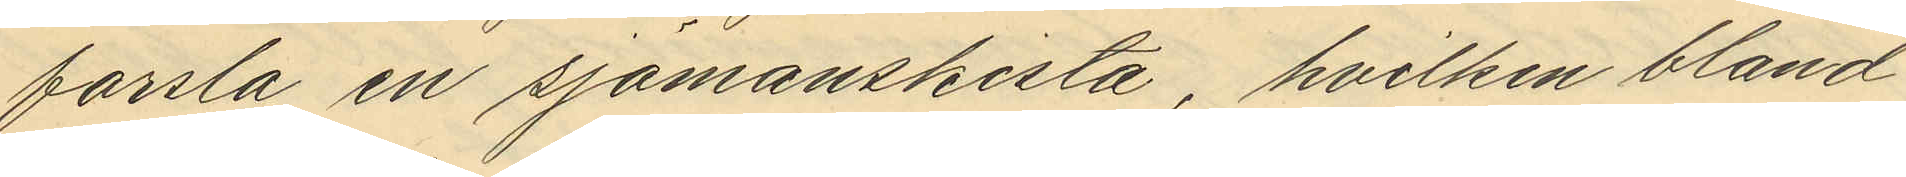forsla en sjömanskista, hvilken bland
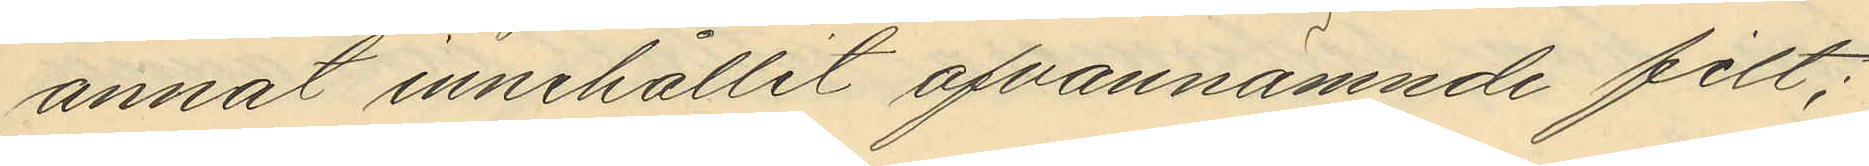annat innehållit ofvannämnde filt;
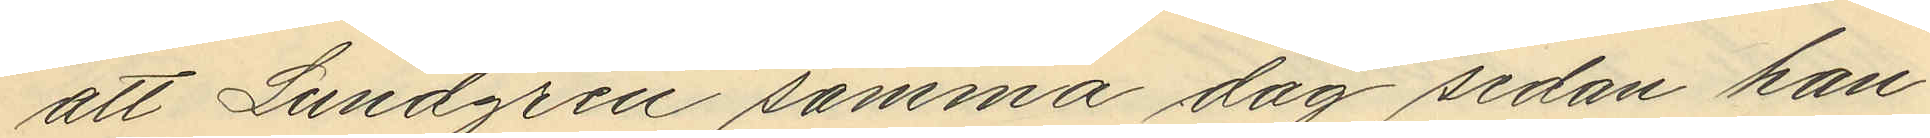att Lundgren samma dag sedan han
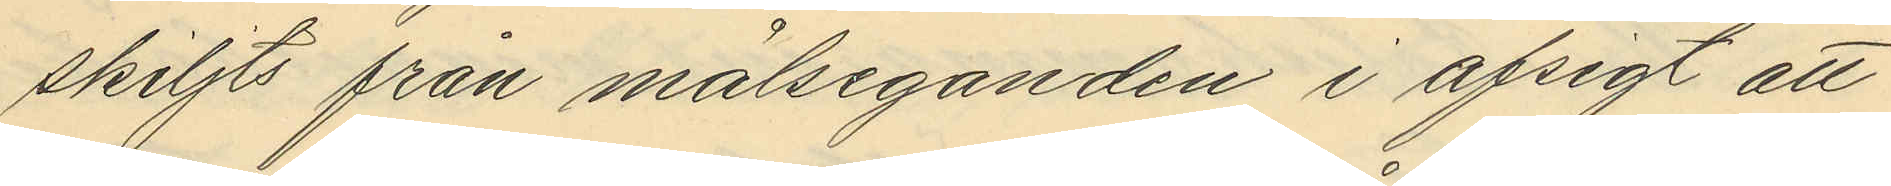skiljts från målseganden i afsigt att
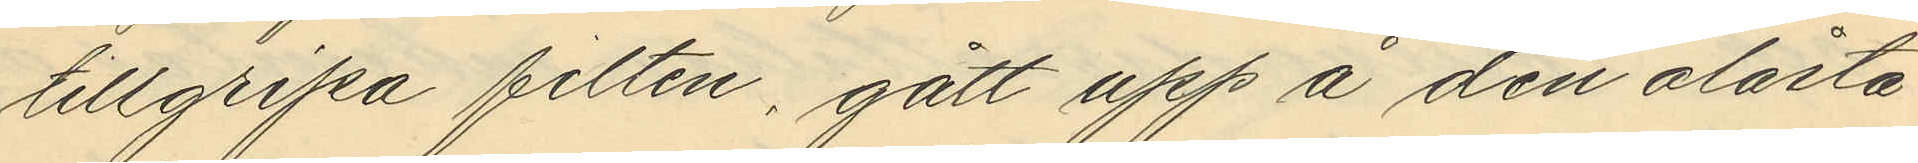tillgripa filten, gått upp å den olåsta
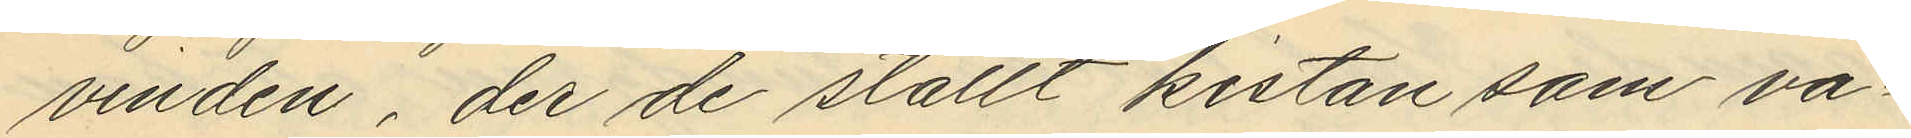vinden, der de ställt kistan som va¬
